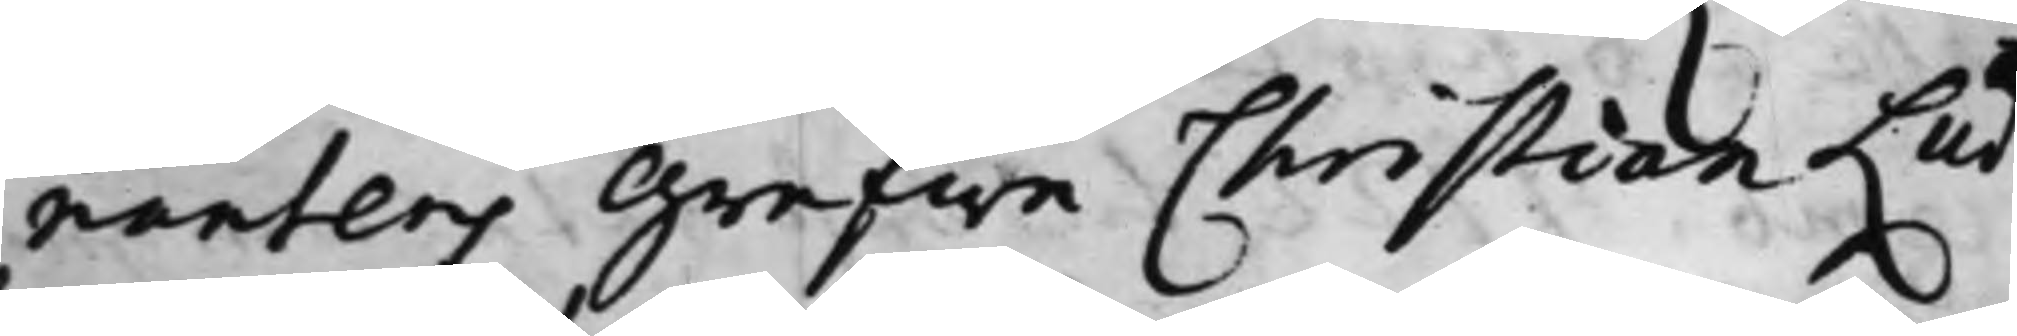nantens Grefwe Christian Lud¬
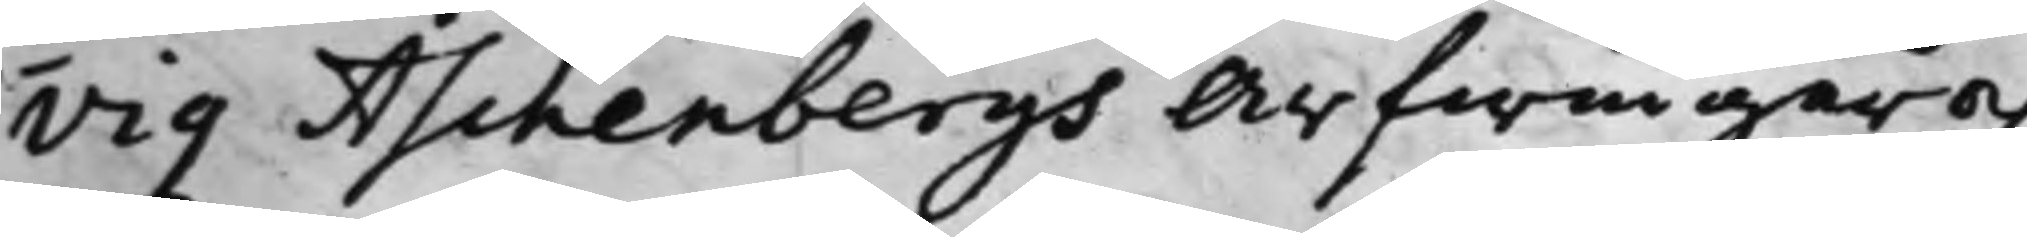vig Aschenbergs Arfwingar och
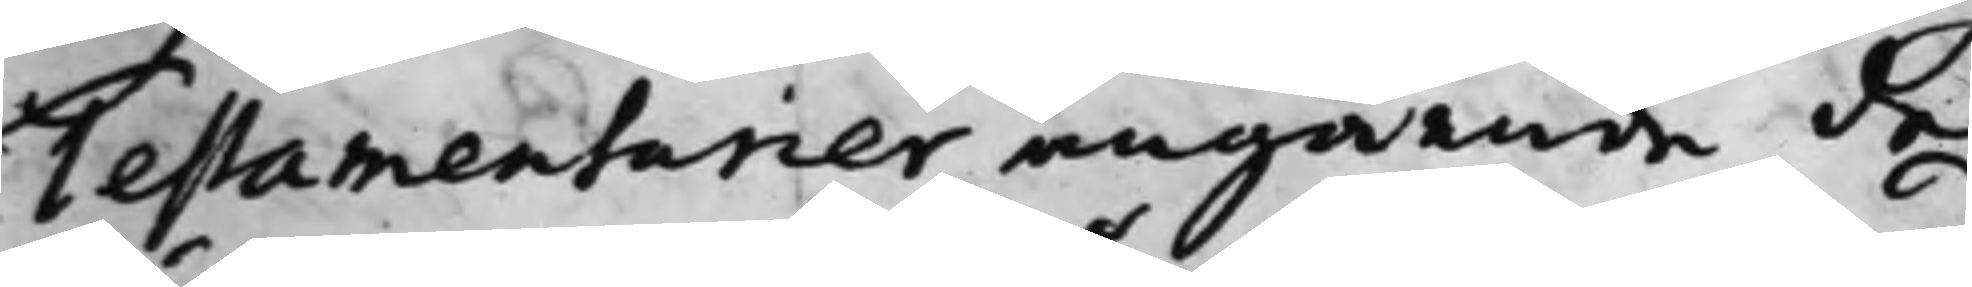Testamentarier angående de
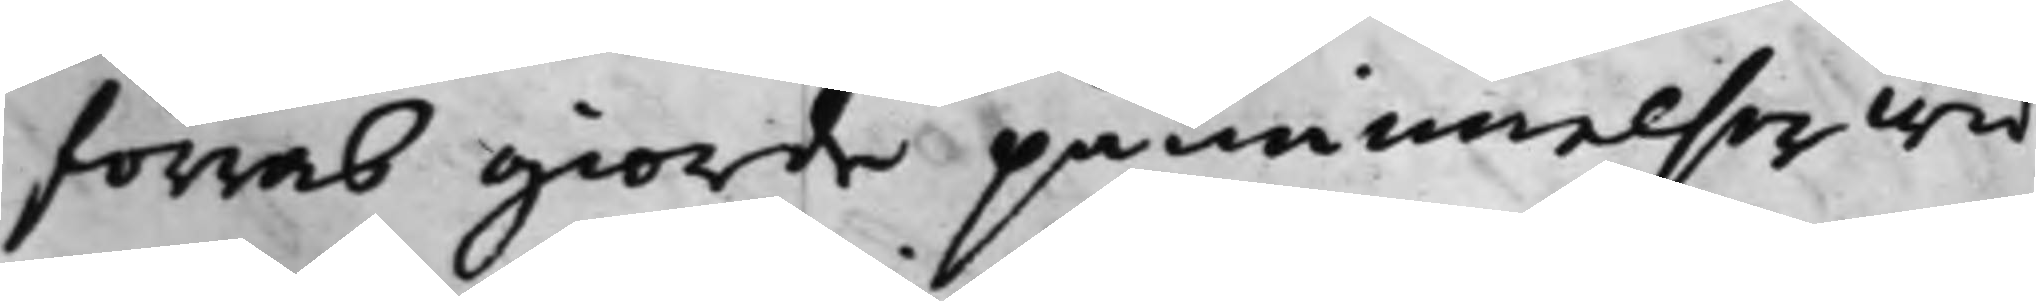förras giorde påminnelser wid
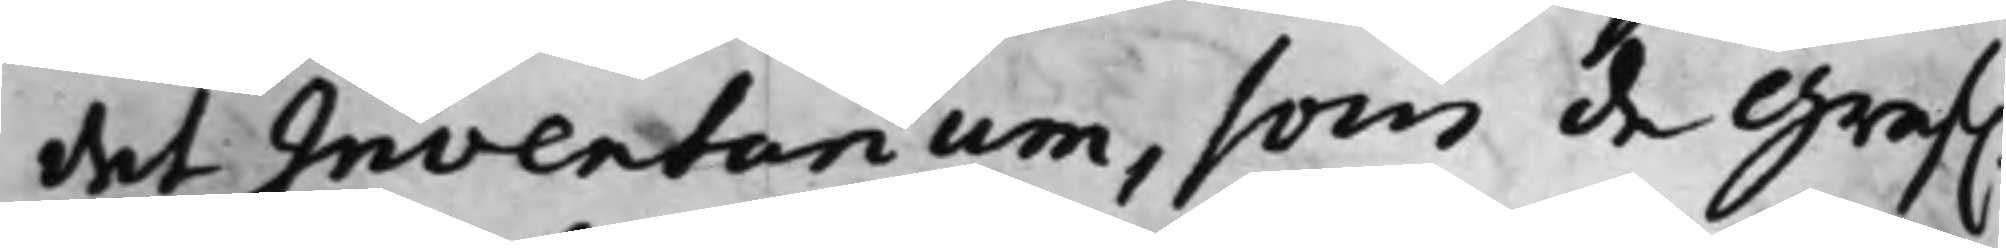det Inventarium, som de Gref.
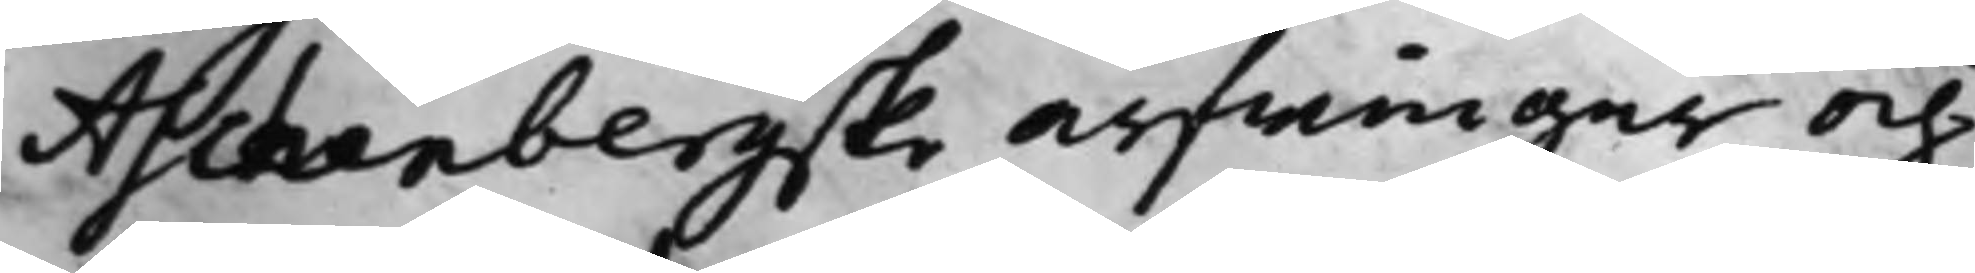Aschenbergske Arfwingar och
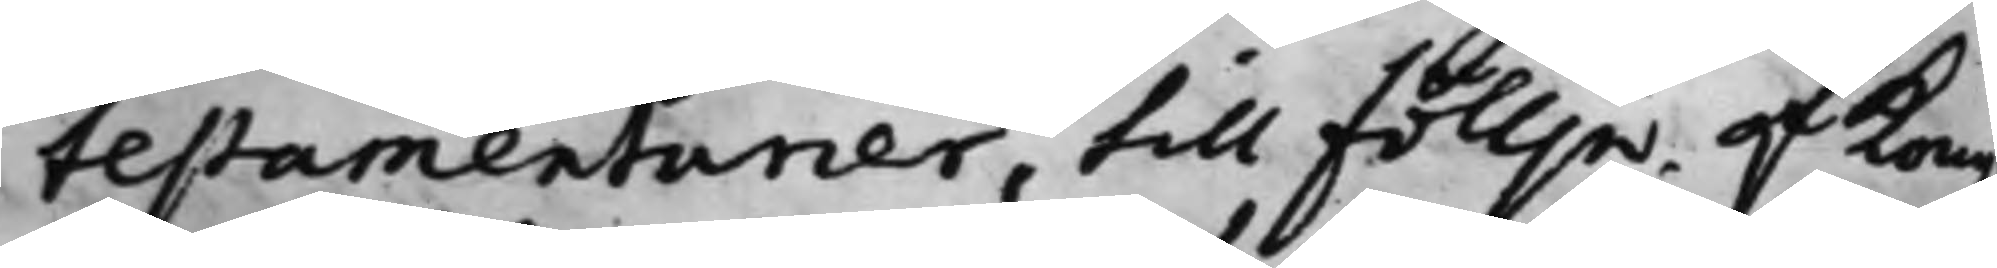testamentarier, till Föllje af Kong.
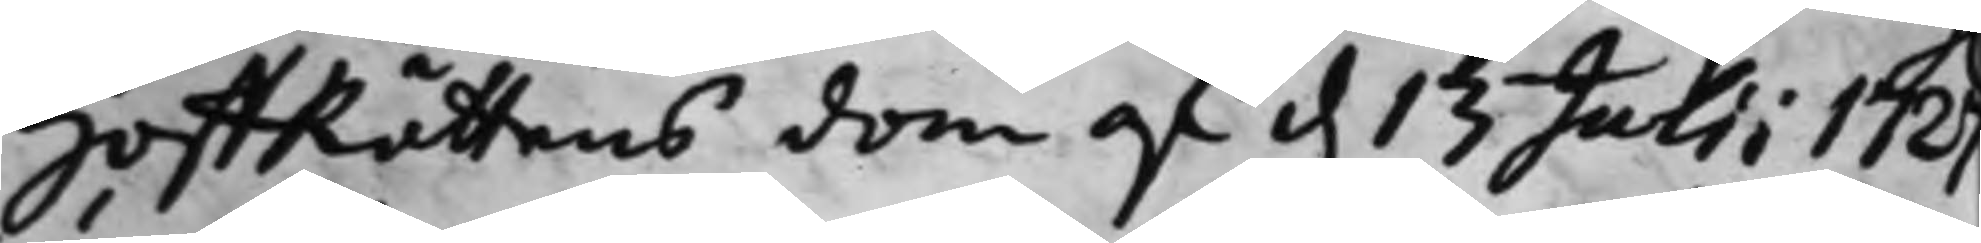HoffRättens dom af d. 13 Julii 1727
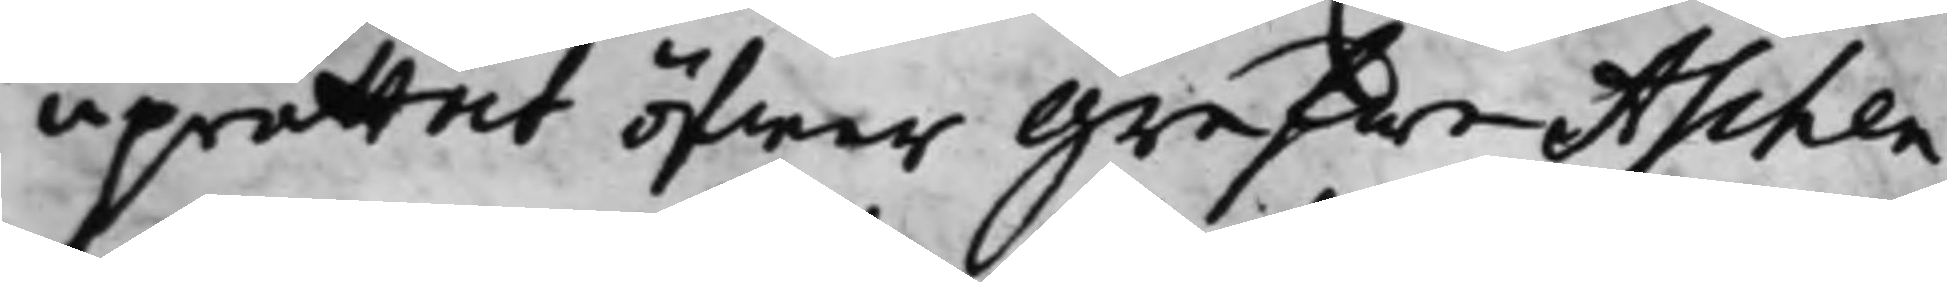uprättat öfwer Grefwe Aschen¬
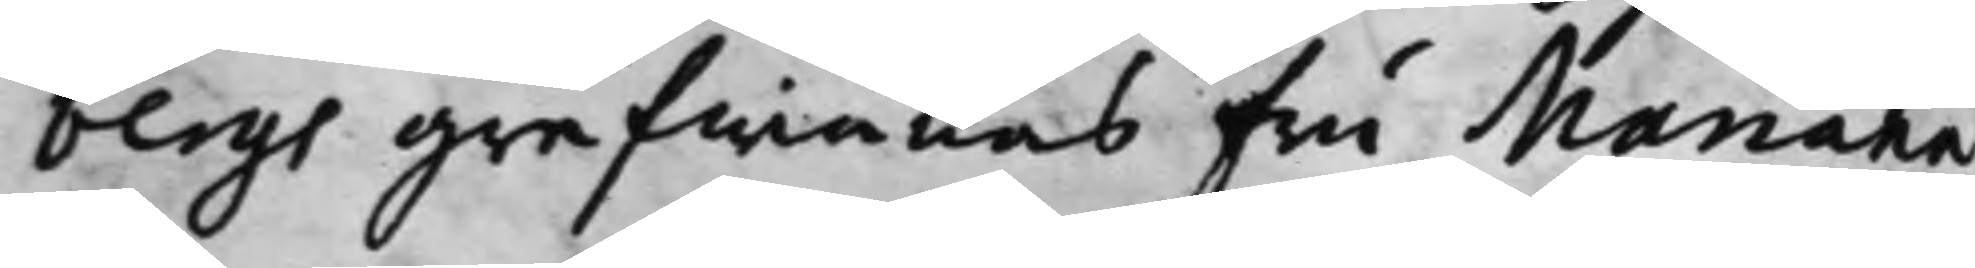bergs grefwinnas Fru Mariana
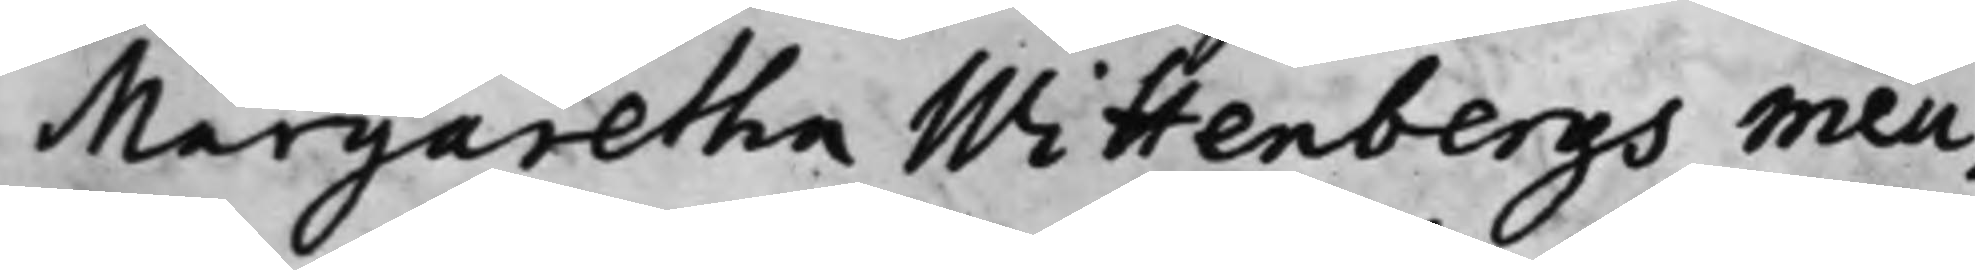Margaretha Wittenbergs meu¬
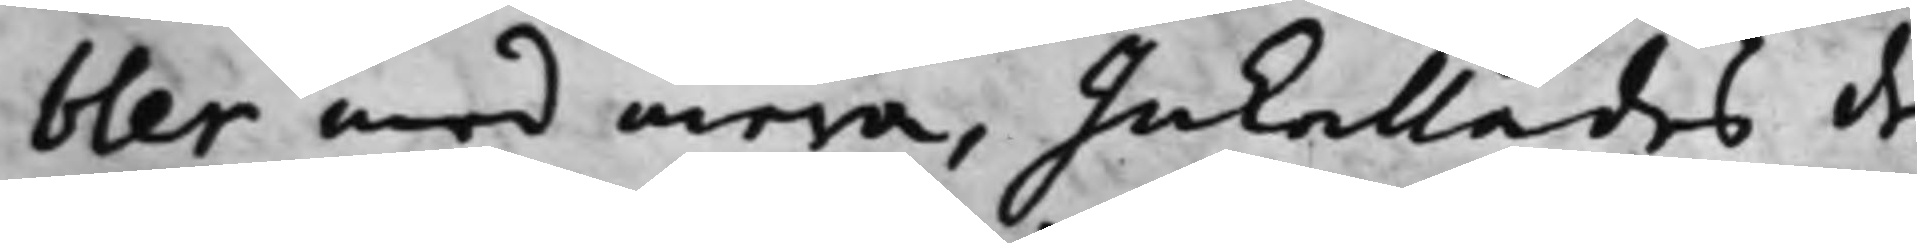bler med mera, Inkallades de
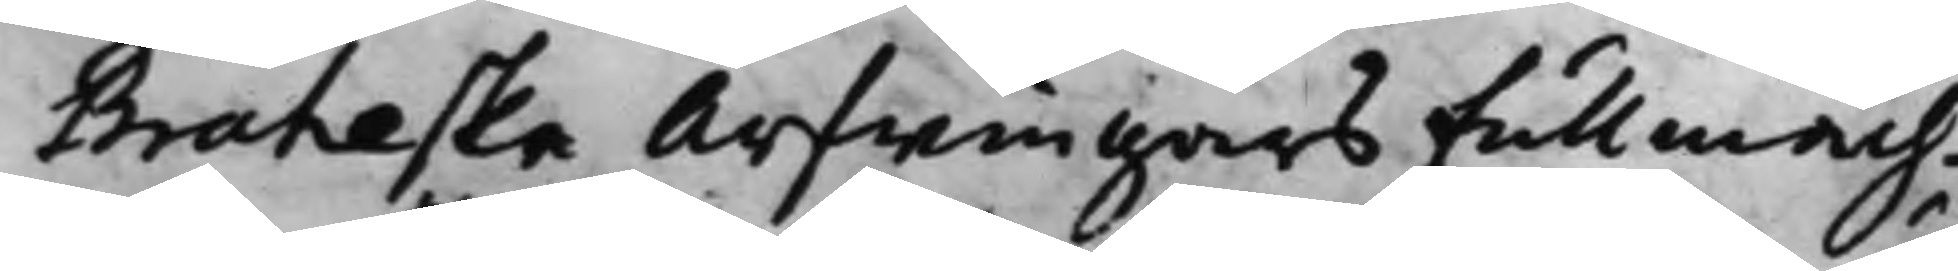Braheska Arfwingars Fullmäch¬
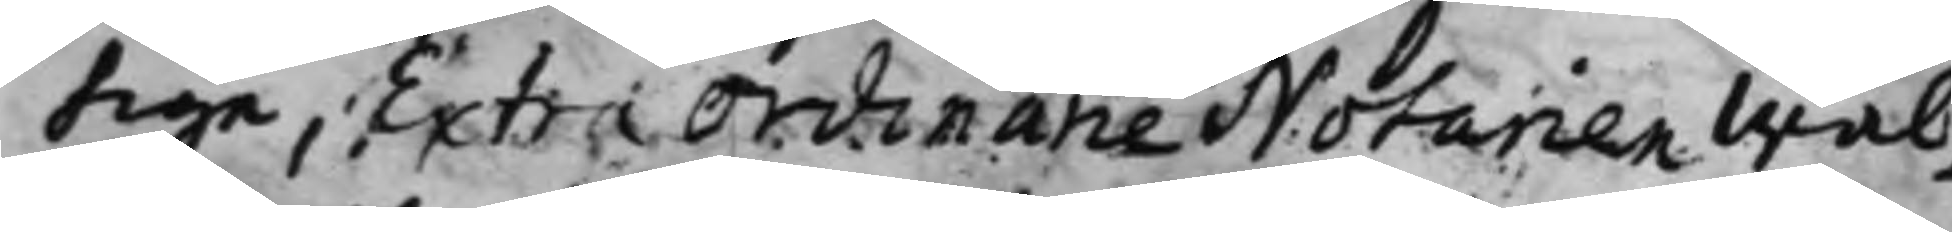tige, Extra Ordinarie Notarien Wäl¬
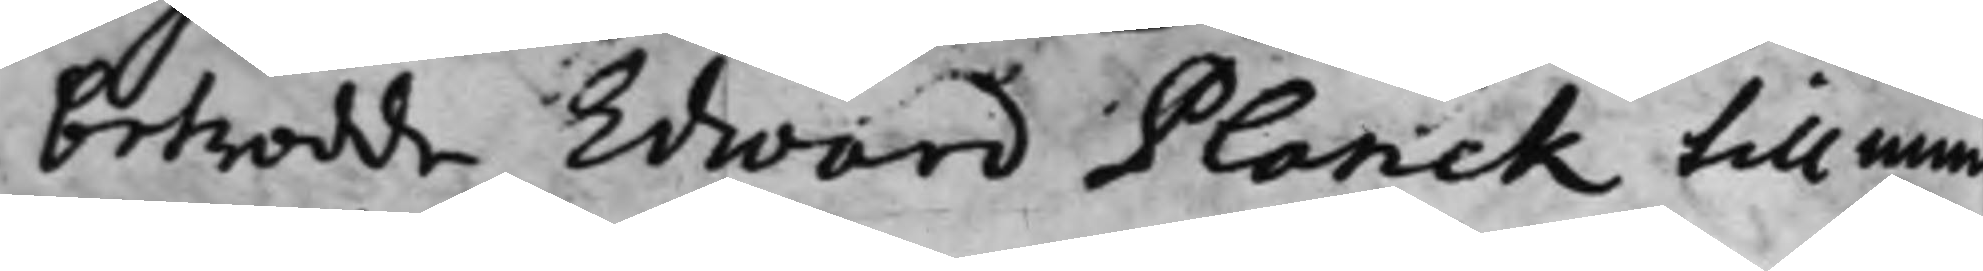betrodde Edward Planck till mun¬
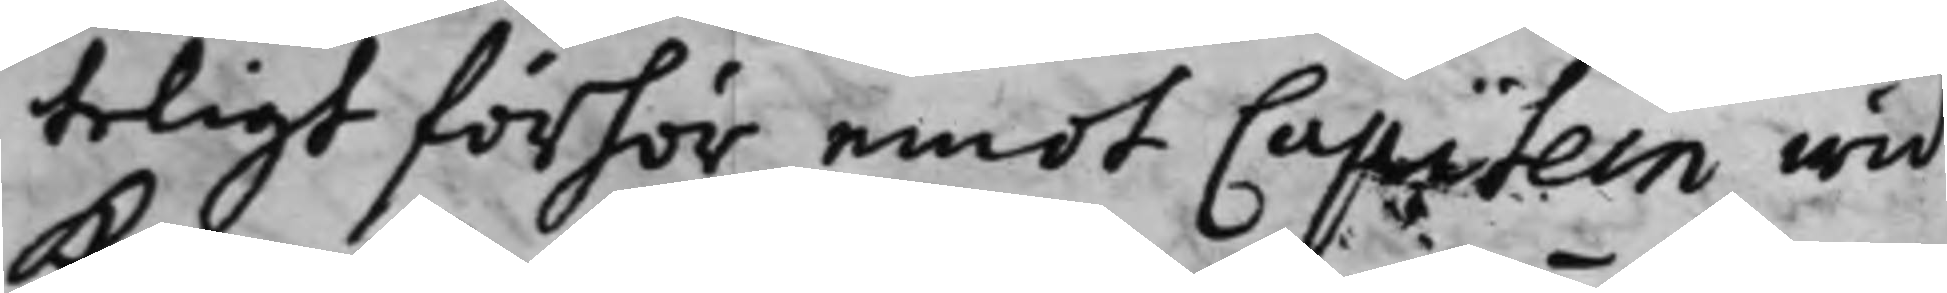teligt förhör emot Capitein wid
